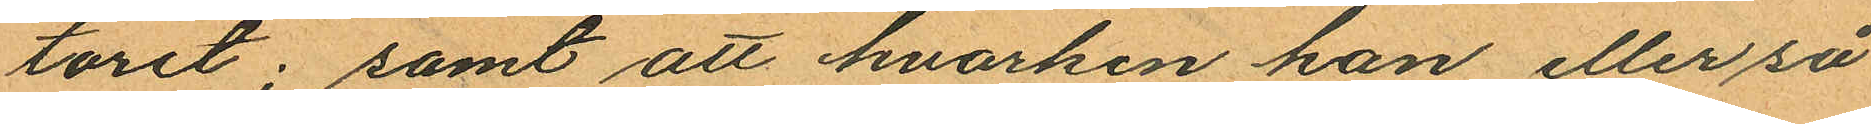toret; samt att hvarken han eller så
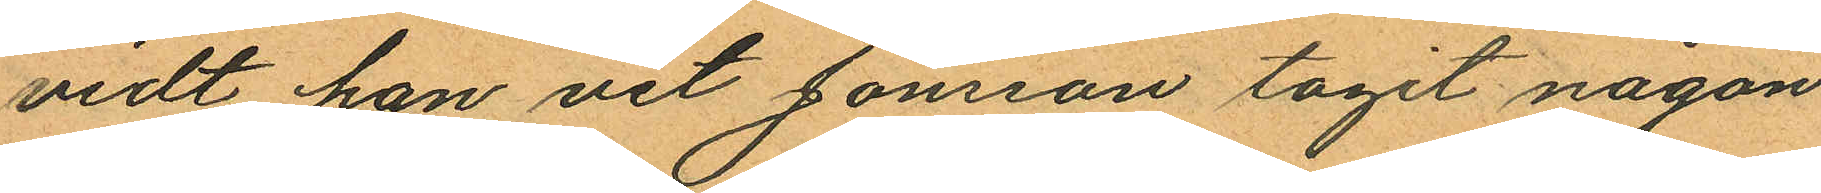vidt han vet Jönsson tagit någon
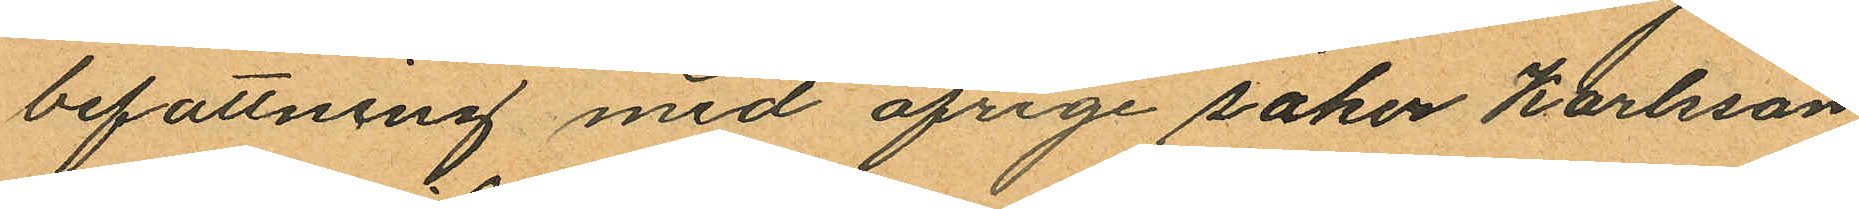befattning med öfrige saker Karlsson
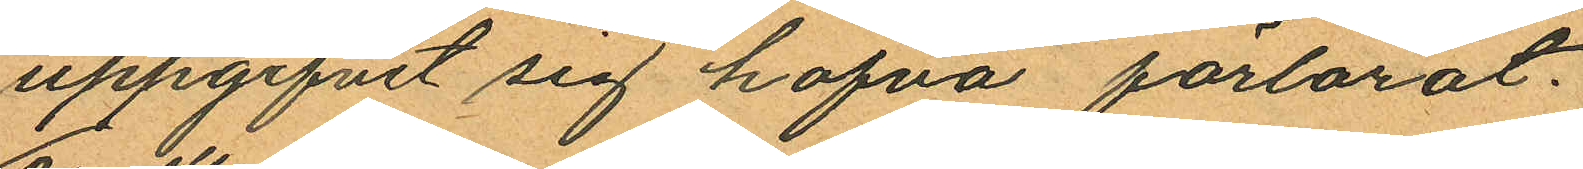uppgifvit sig hafva förlorat.
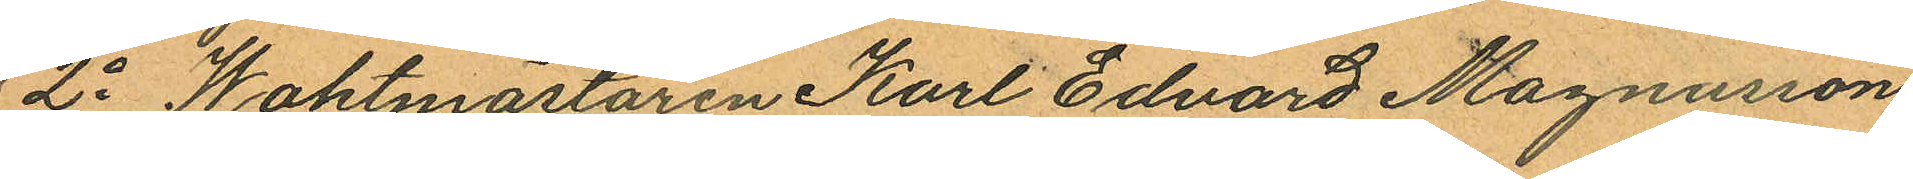2o Waktmästaren Karl Edvard Magnusson
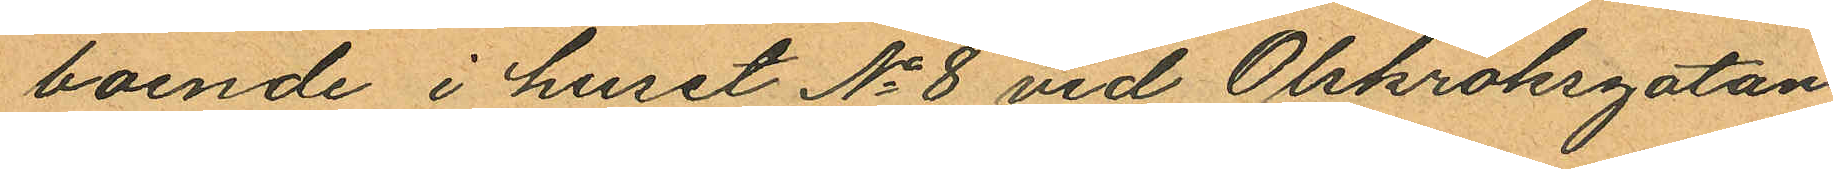boende i huset No 8 vid Olskroksgatan,
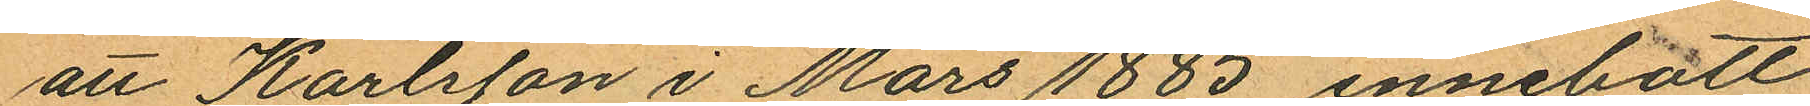att Karlsson i Mars 1885 innebott
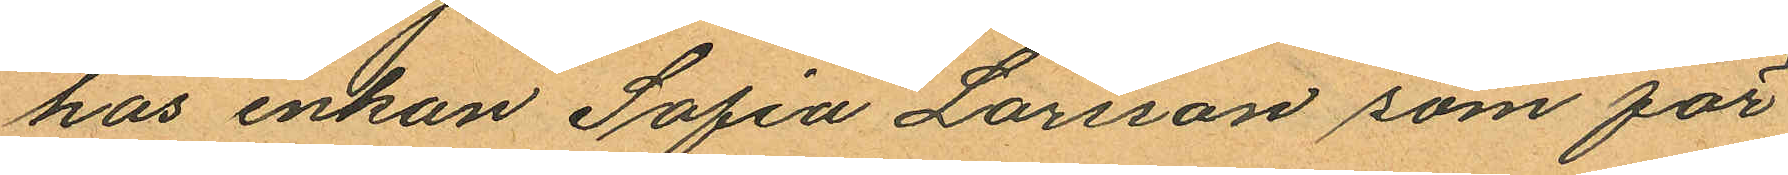hos enkan Sofia Larsson som för¬
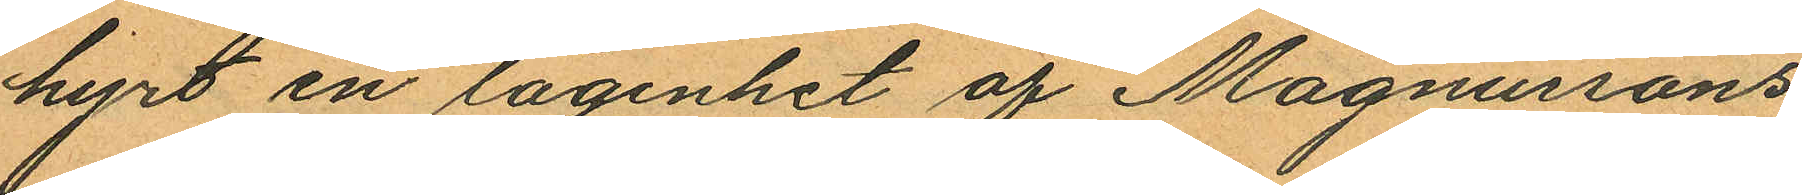hyrt en lägenhet af Magnussons
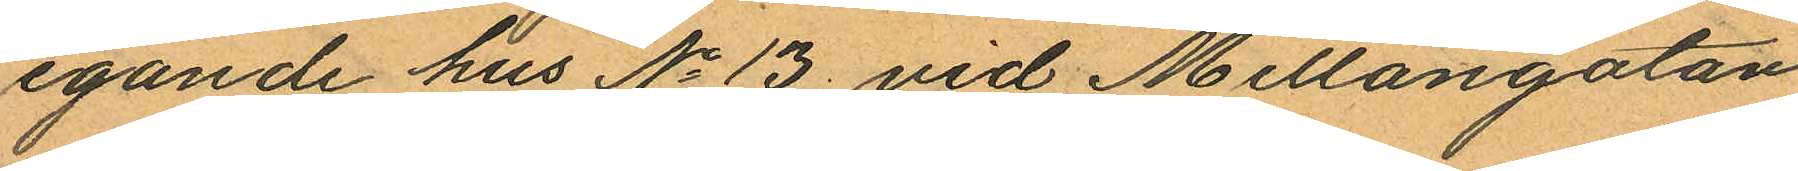egande hus No 13 vid Mellangatan
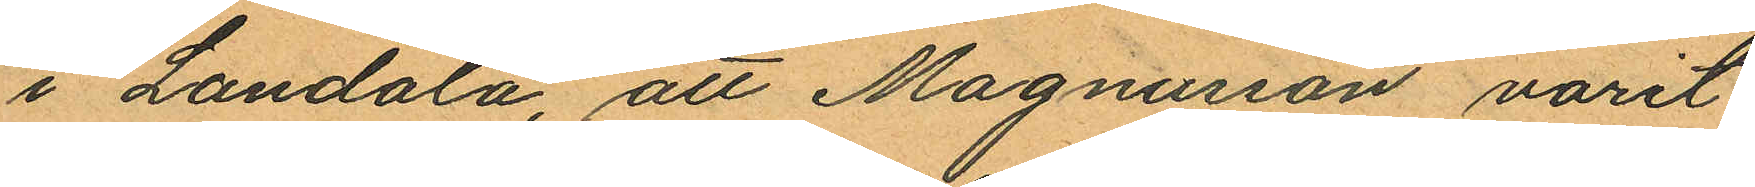i Landala, att Magnusson varit
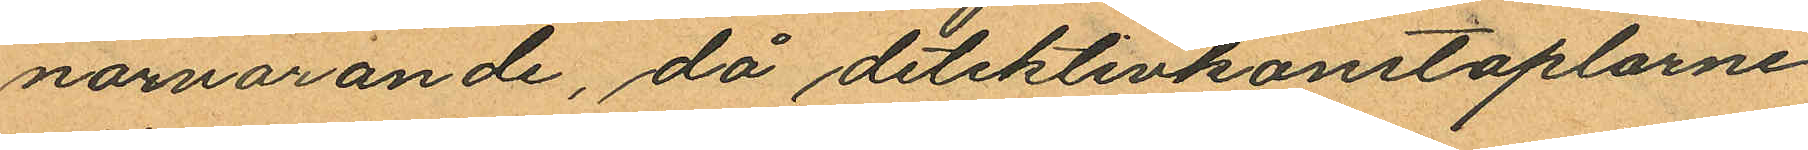närvarande, då detektivkonstaplarne
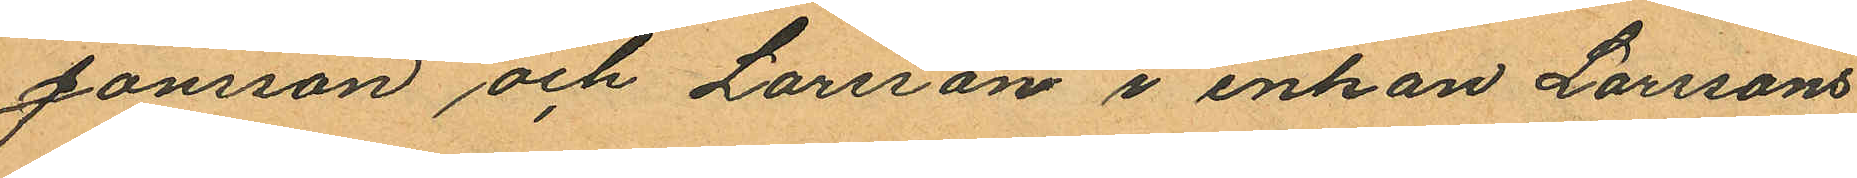Jönsson och Larsson i enkan Larssons
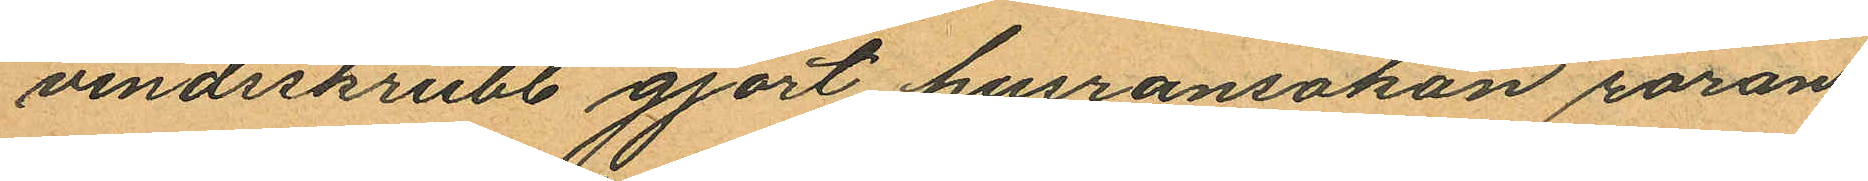vindsskrubb gjort husransakan röran¬
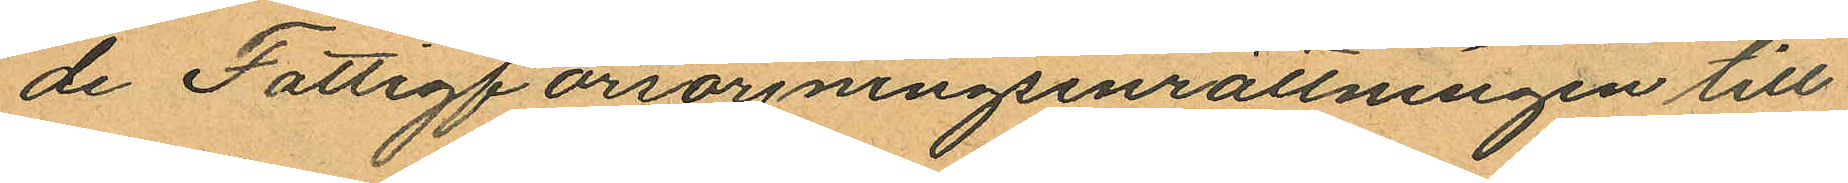de Fattigförsörjningsinrättningen till¬
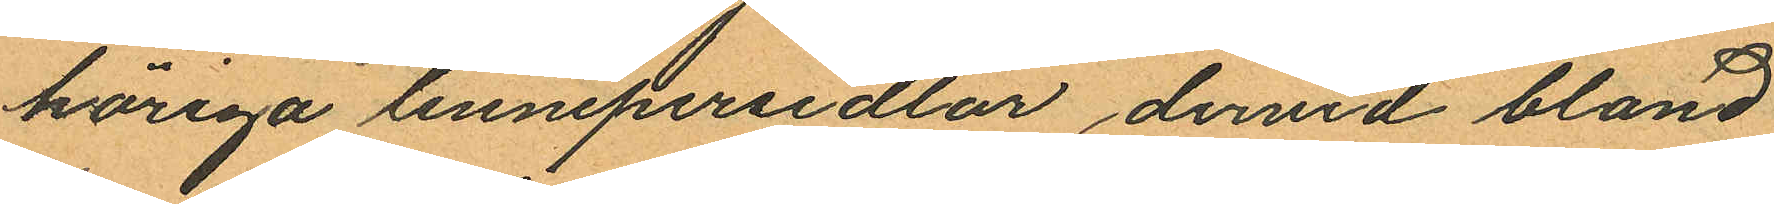höriga linnepersedlar dervid bland
